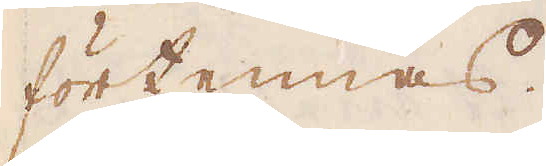förtennas.
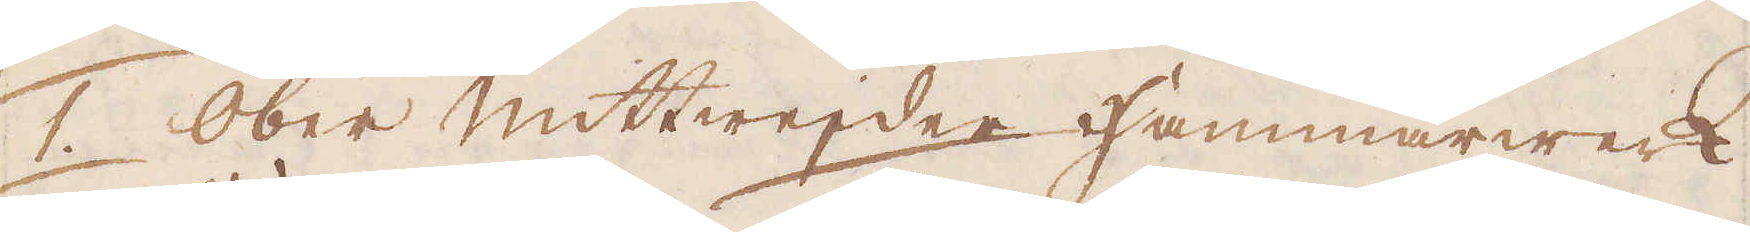1. Ober Mittwejder Hammarwerk
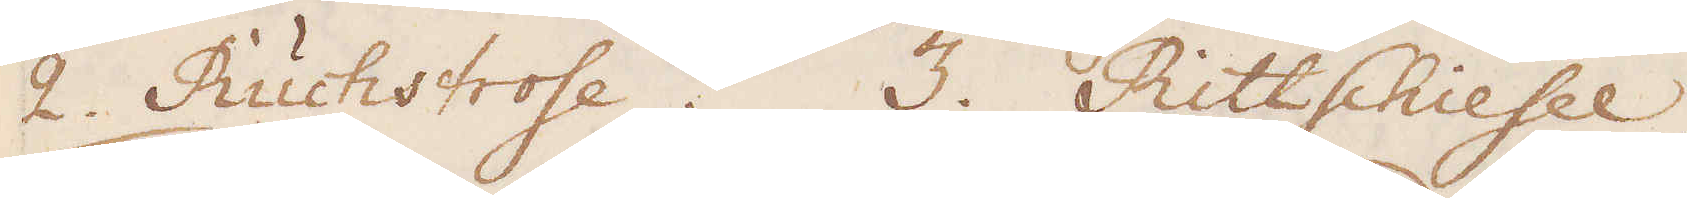2. Ruchstrose. 3. Rittschiesel.
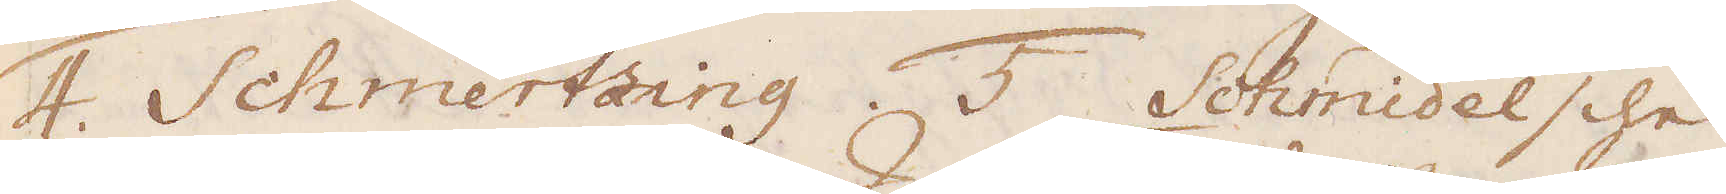4. Schmertzing 5. Schmidelsche
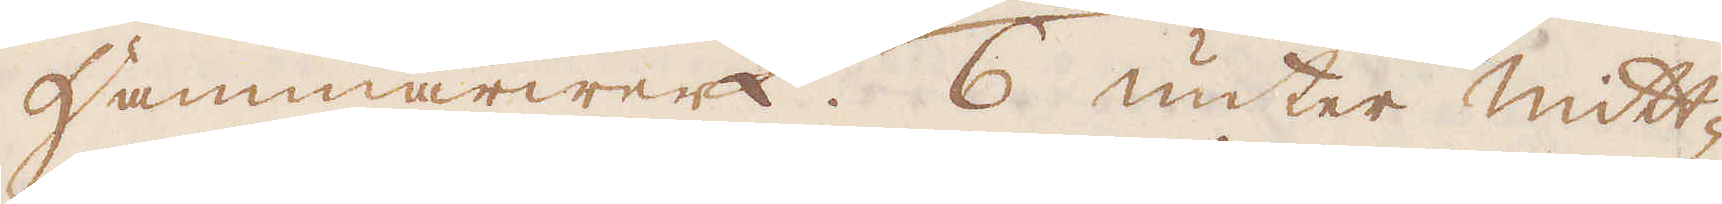Hammarwerk. 6 unter Mitt-
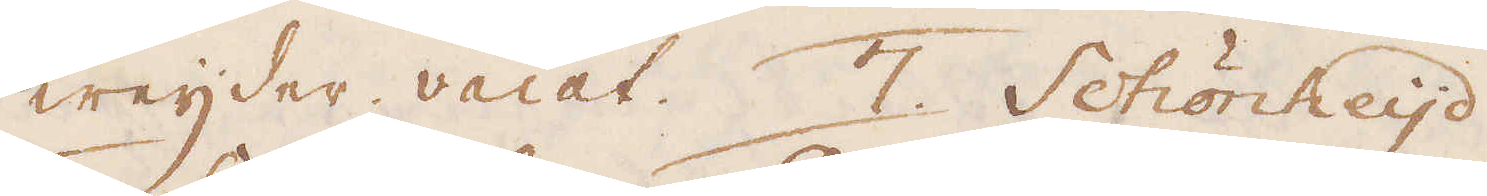weijder vacat. 7. Schönheijd.
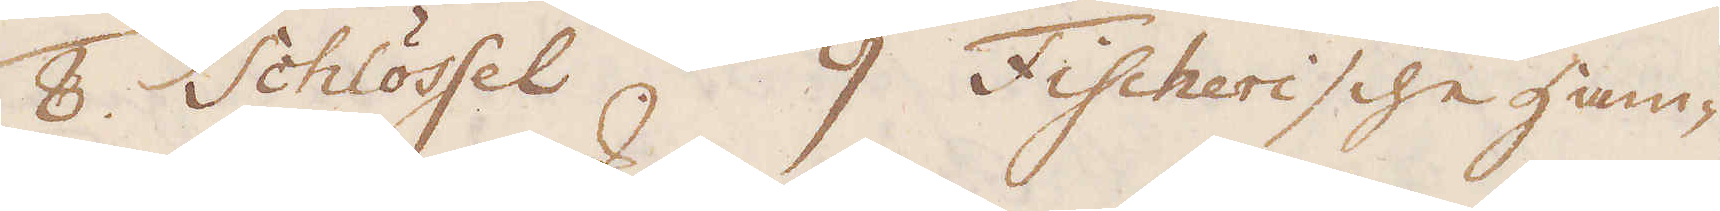8. Schlössel. 9 Fischerische ham-
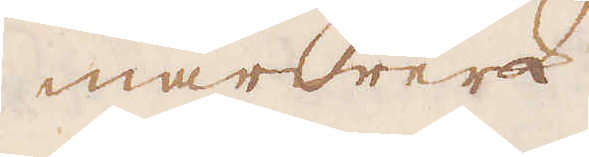marwerk.
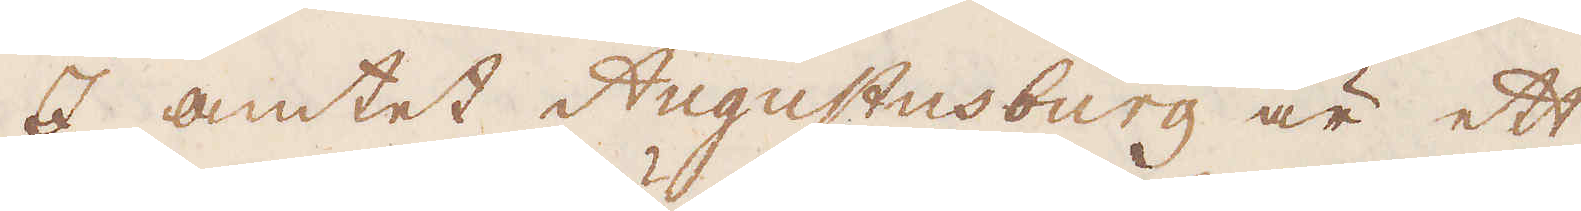I amtet Augustusburg är ett
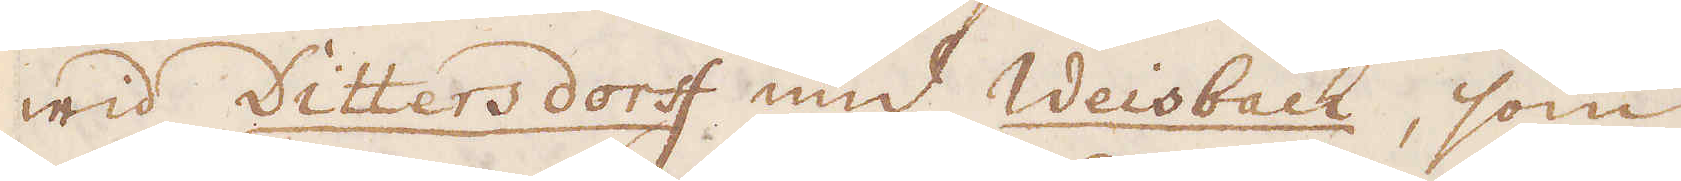wid Dittersdorff und Weisbach, som
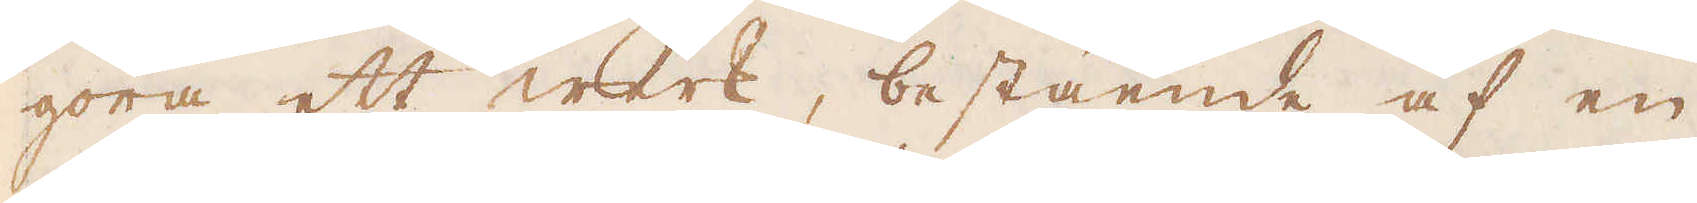göra ett werk, bestående af en
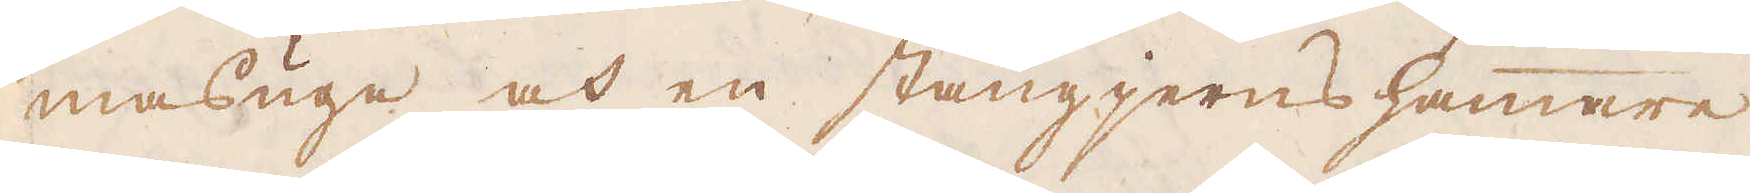masugn och en stångjerns hammare.
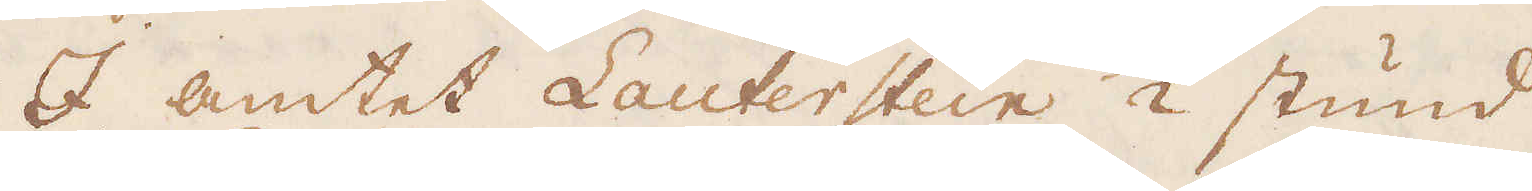I amtet Lauterstein 1/2 stund
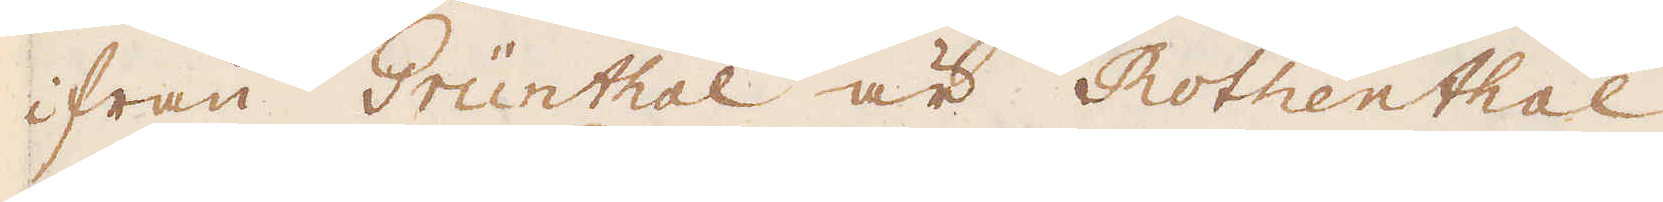ifrån Grünthal är Rothenthal
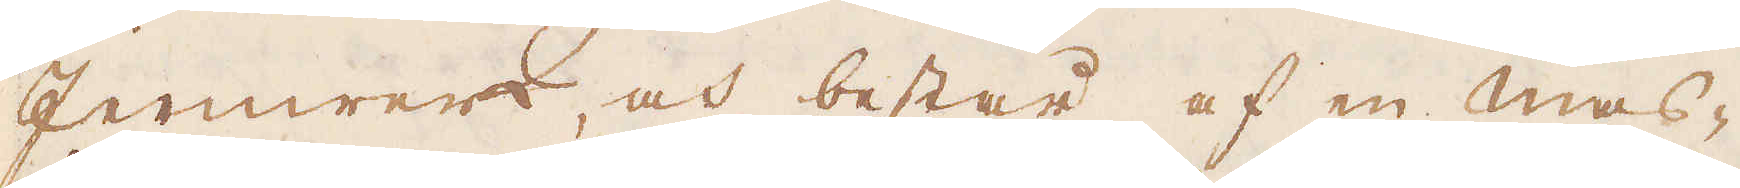Jernwerk, och består af en mas-
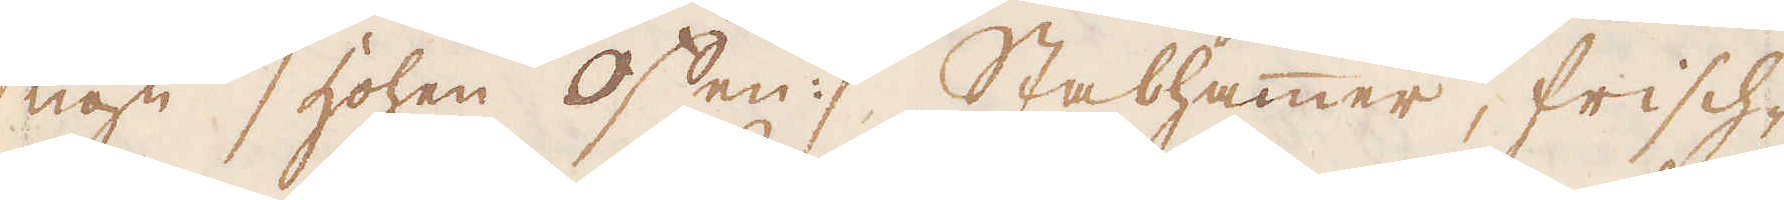ugn / hohen Offen :/ Stabhammer, frisch-
